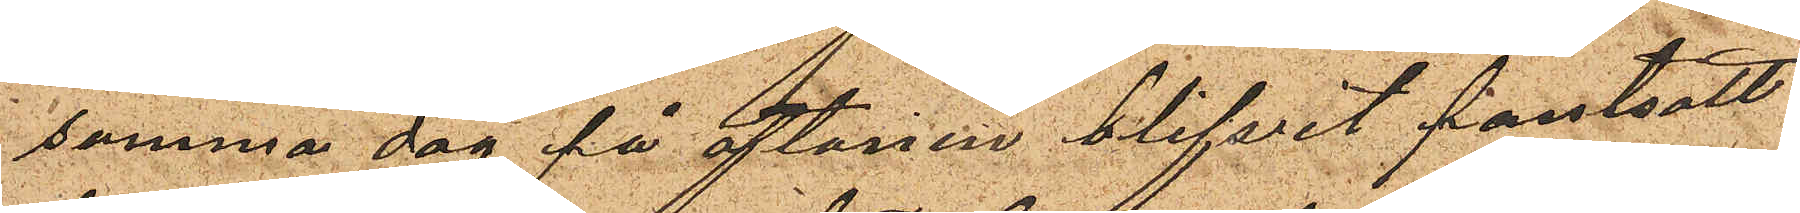samma dag på aftonen blifvit pantsatt
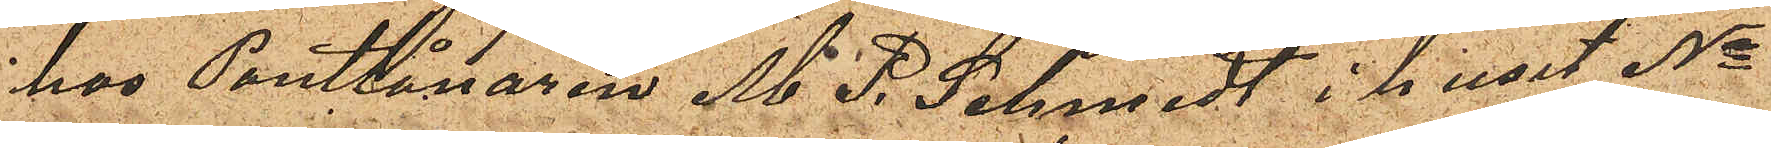hos Pantlånaren M. P. Schmidt i huset No
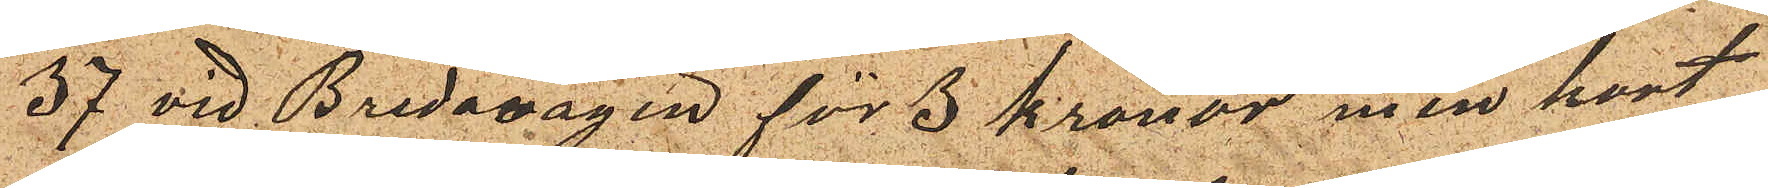37 vid Bredavägen för 3 kronor men kort
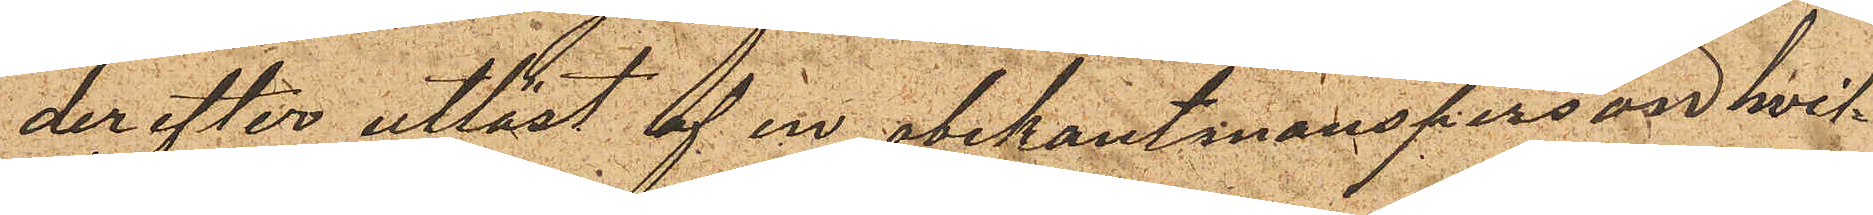derefter utlöst af en obekant mansperson hvil¬
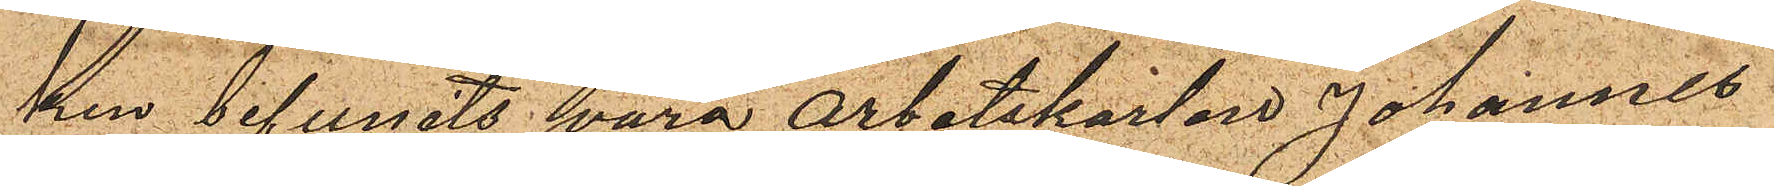ken befunits vara arbetskarlen Johannes
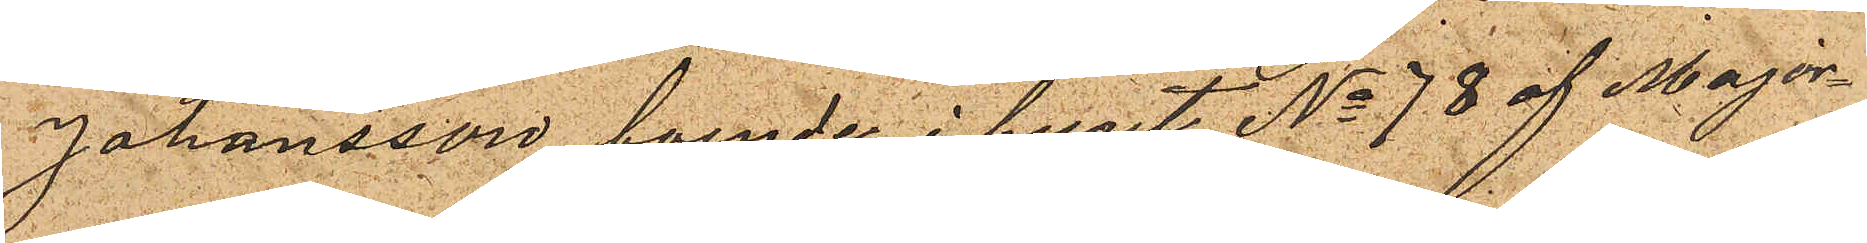Johansson boende i huset No 78 af Major¬
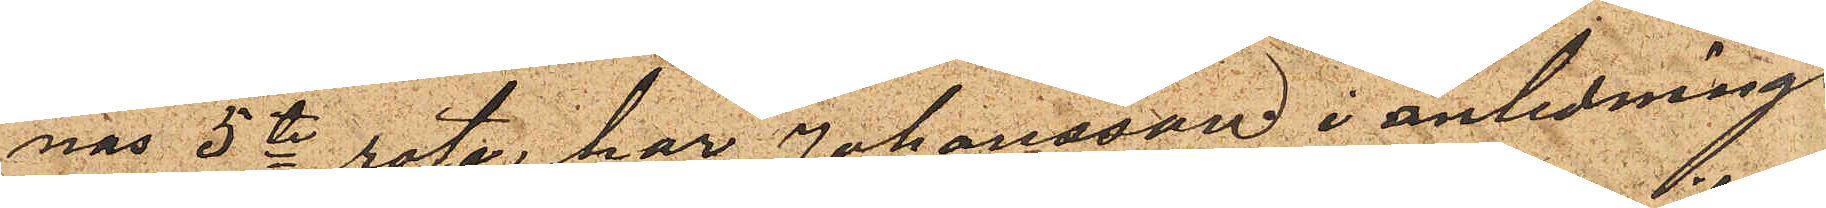nas 5te rote, har Johansson i anledning
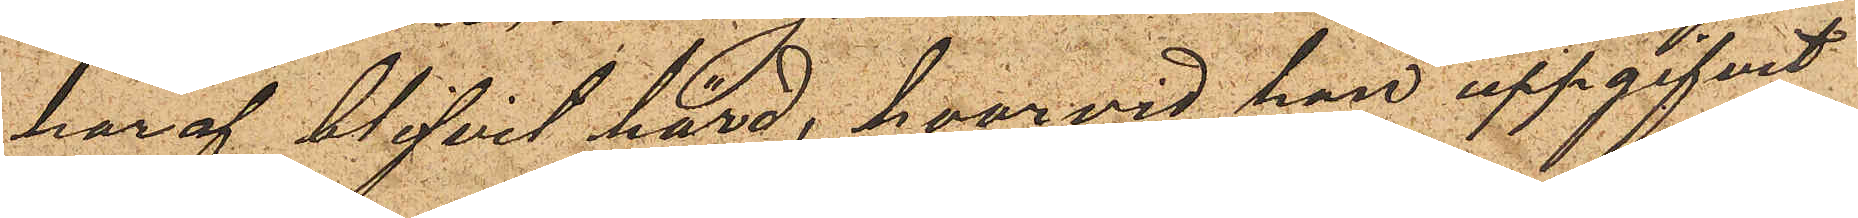haraf blifvit hörd, hvarvid han uppgifvit
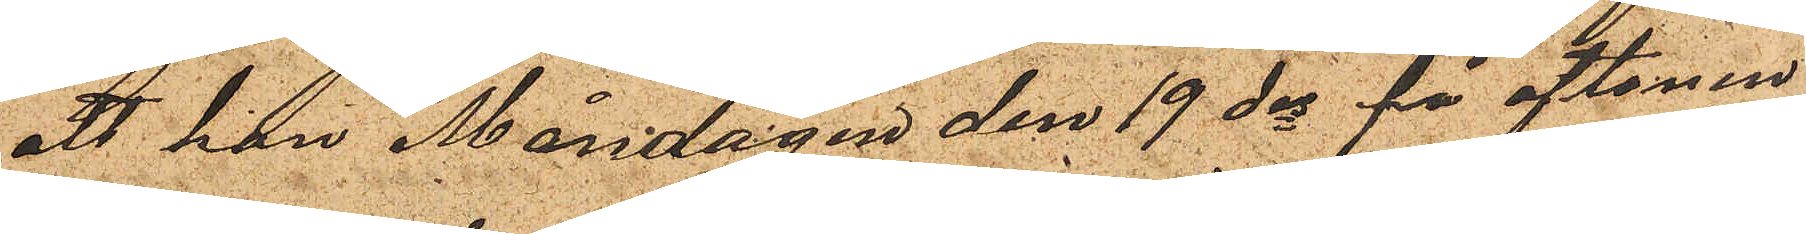att han Måndagen den 19 ds på aftonen
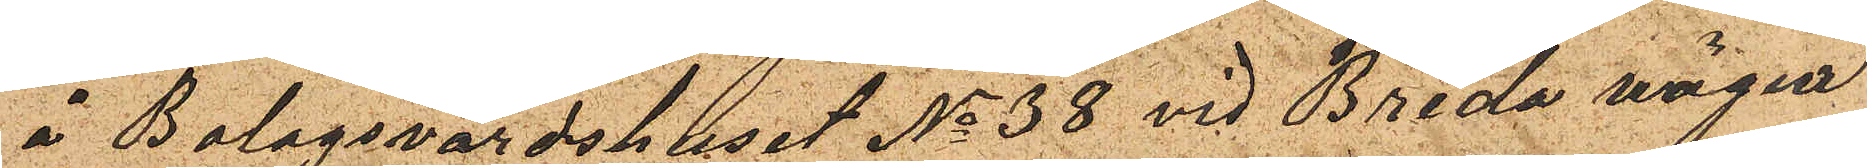å Bolagsvärdshuset No 38 vid Breda vägen
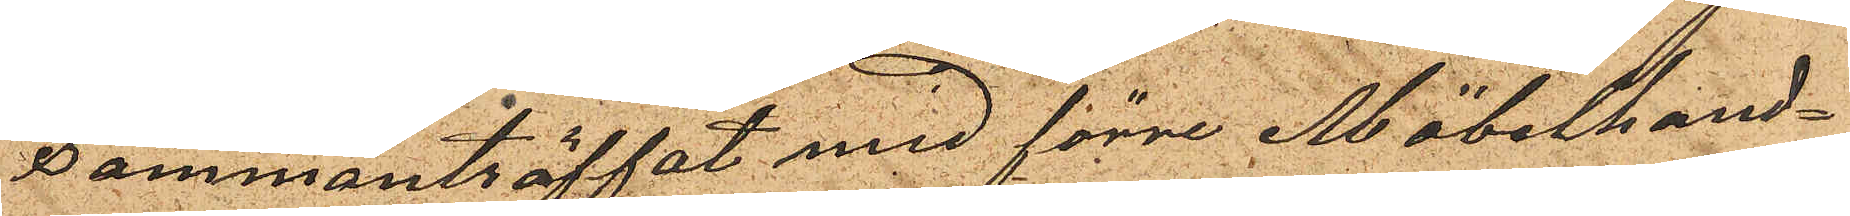sammanträffat med förre Möbelhand¬
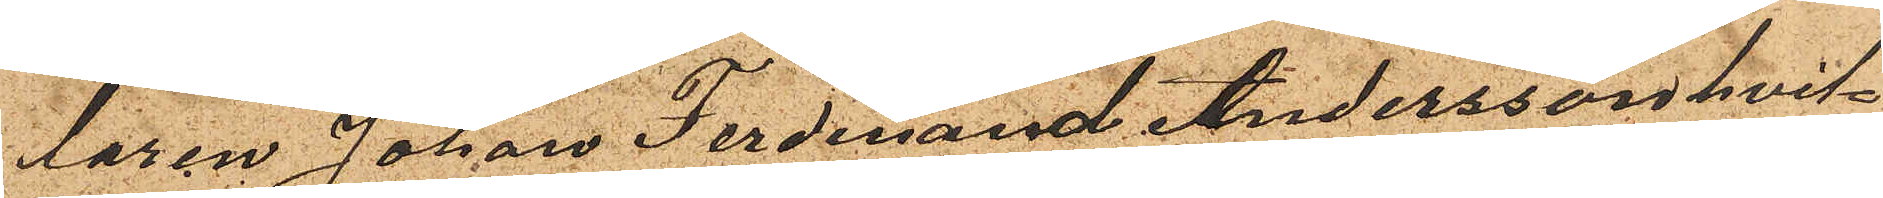laren Johan Ferdinand Andersson hvil¬
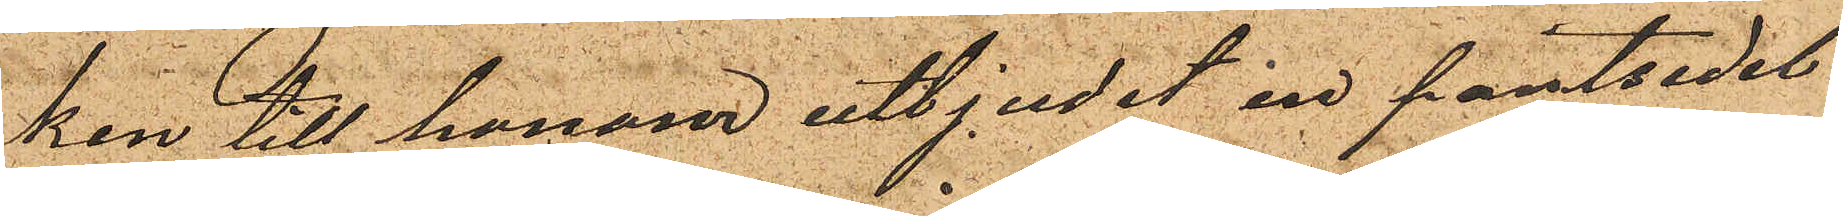ken till honom utbjudit en pantsedel
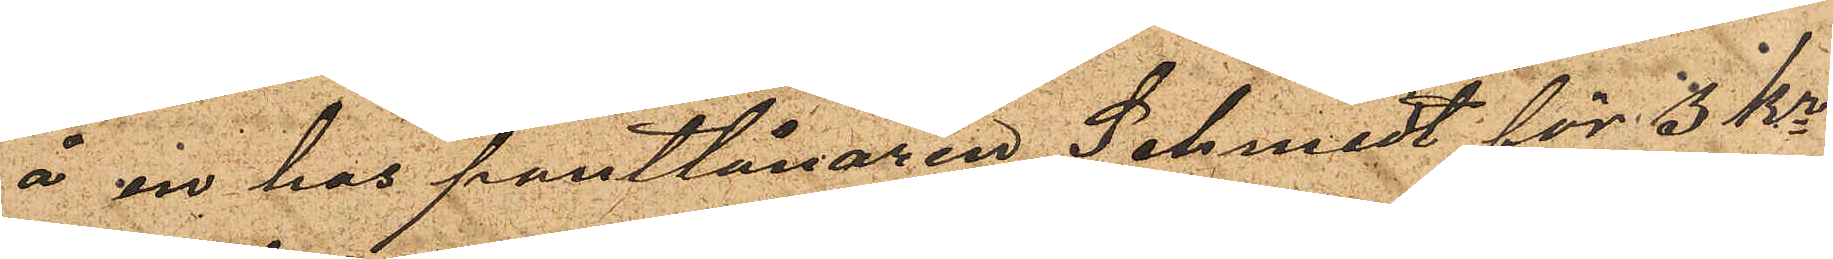å en hos pantlånaren Schmidt för 3 kr
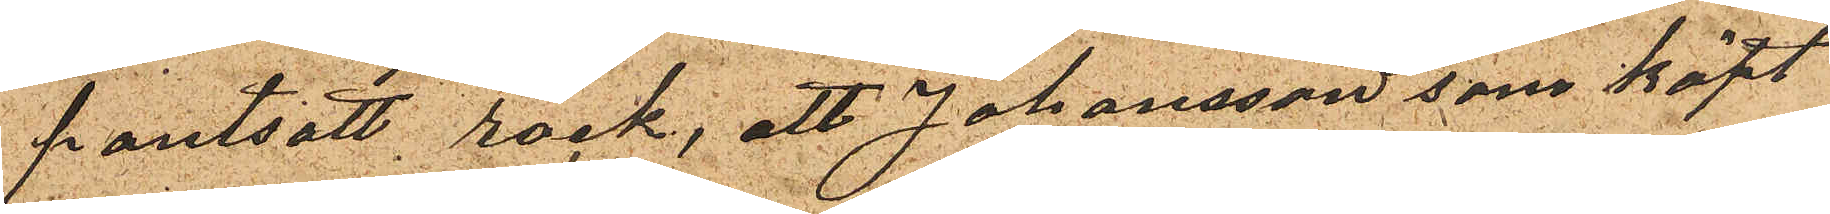pantsatt rock; att Johansson som köpt
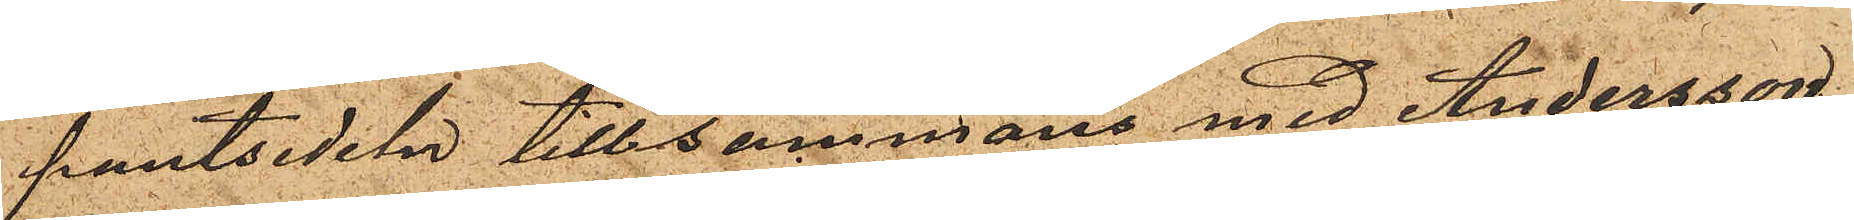pantsedeln tillsammans med Andersson
